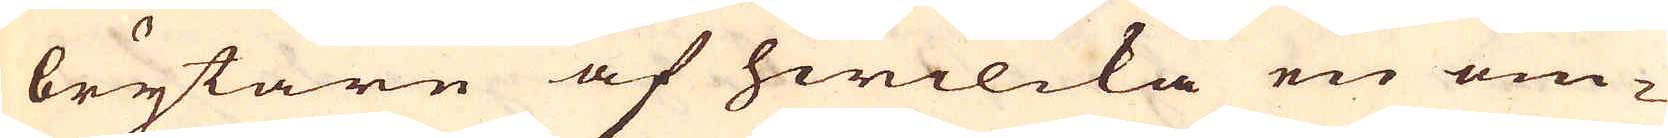brytare af hwilcka en om-
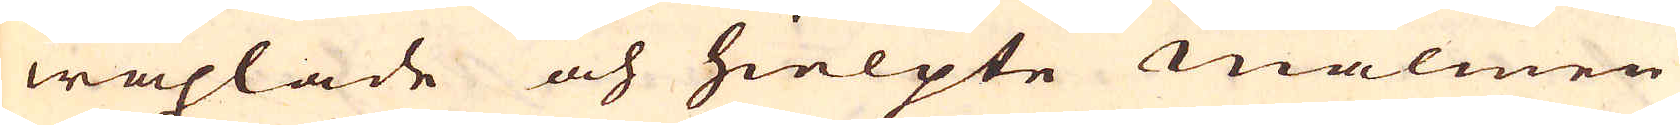wäxlade och hielpte malmen
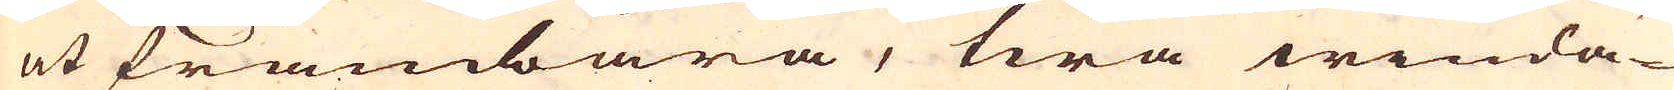at frambära, twå winda-
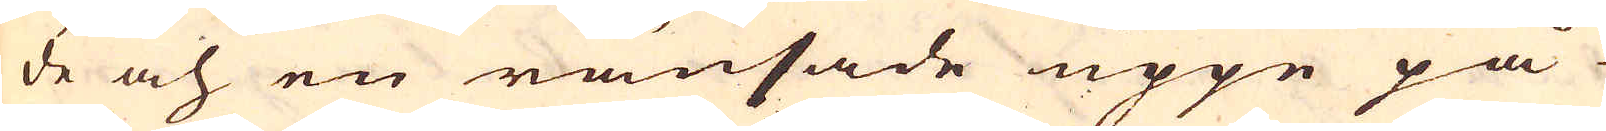de och en ränsade uppe på
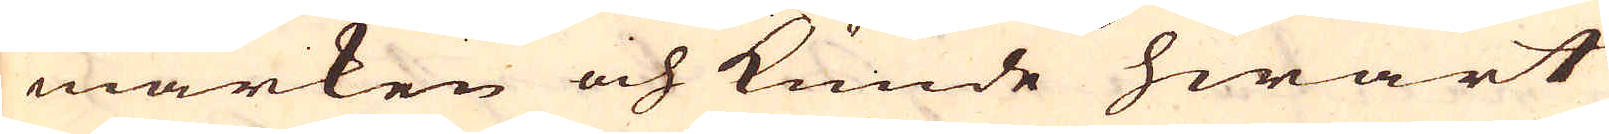marken och kunde hwart
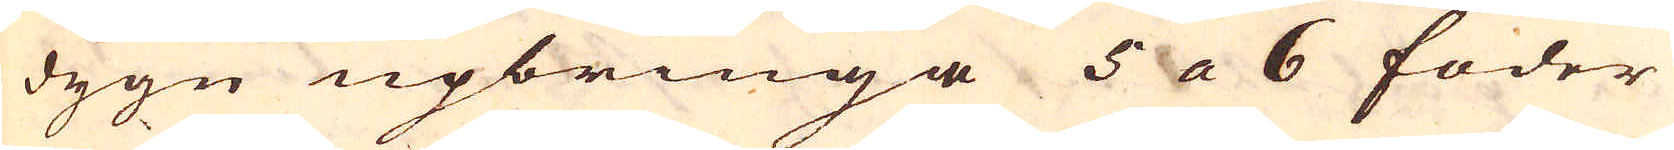dygn upbringa 5 a 6 foder
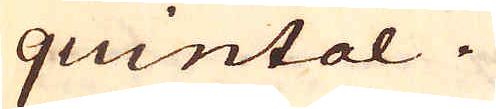quintal.
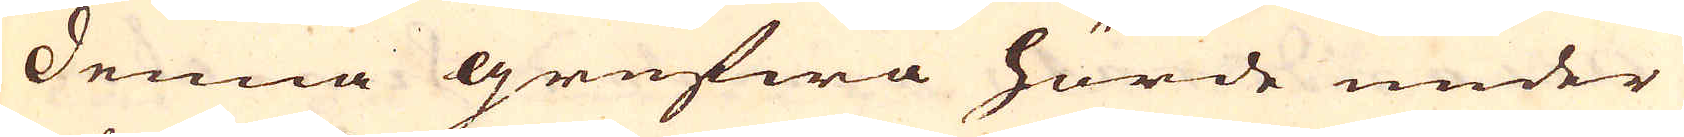Denna grufwa hörde under
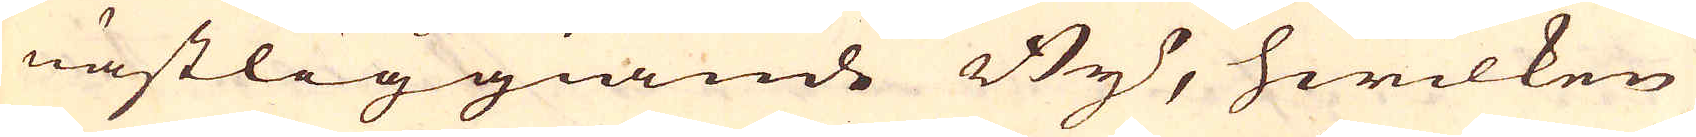nästliggiande By, hwilken
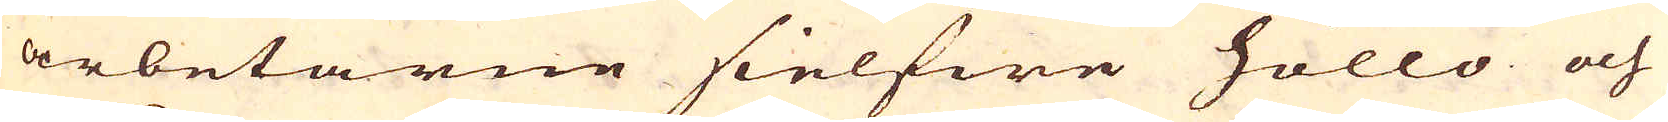arbetarne sielfwe höllo och
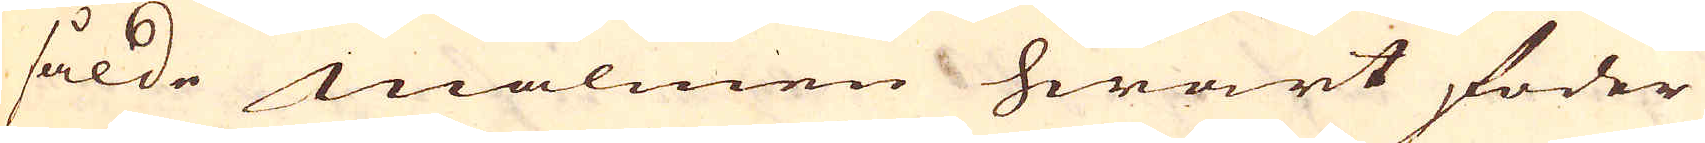sålde malmen hwart foder
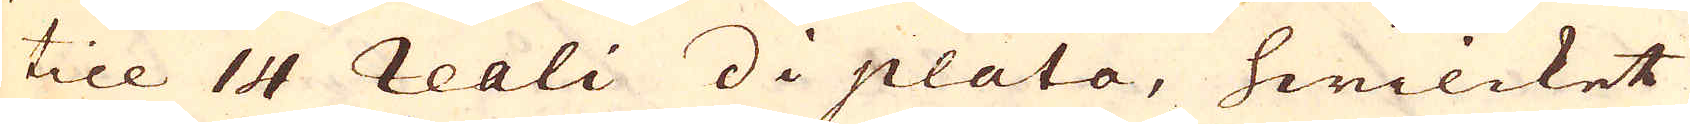till 14 reali di plata, hwilcket
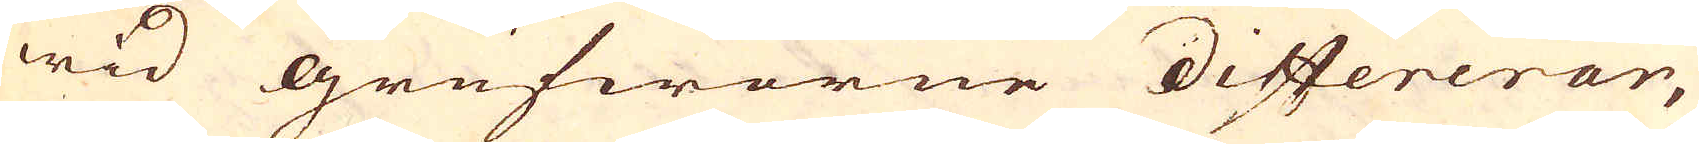wid grufworne differerar,
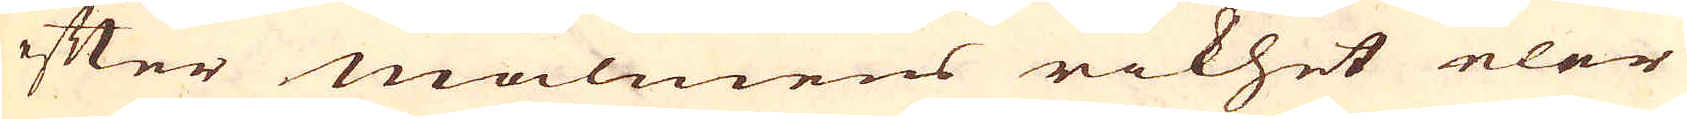efter malmens rikhet eler
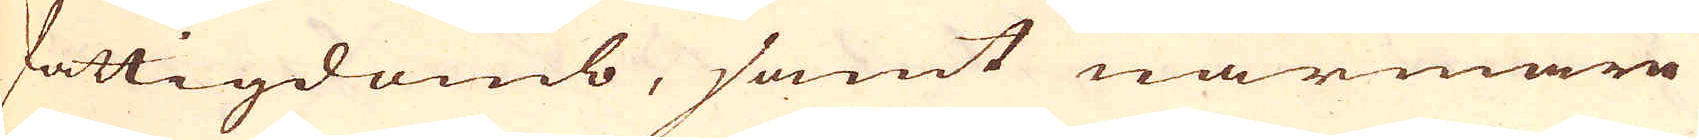fattigdomb, samt närmare
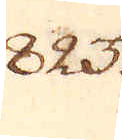823.
